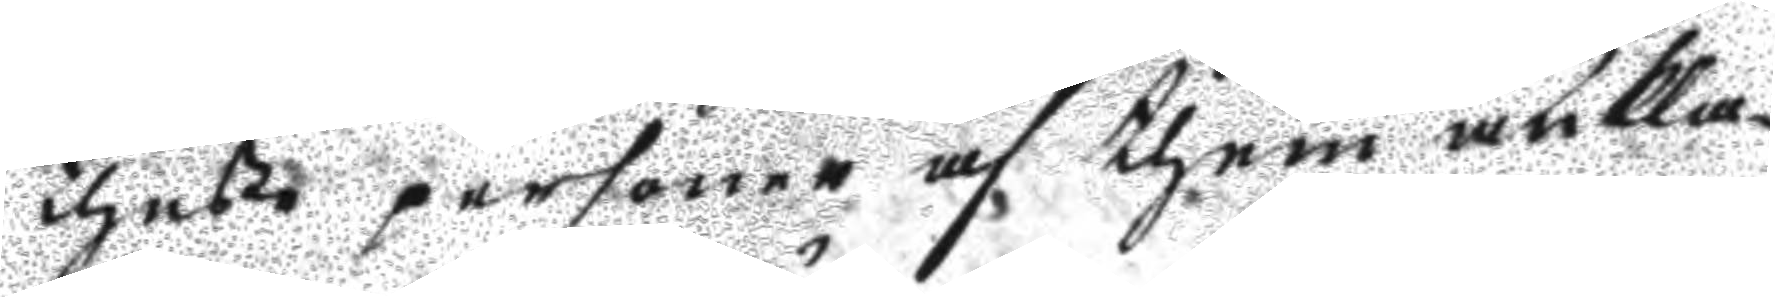theße personer af them ankla¬
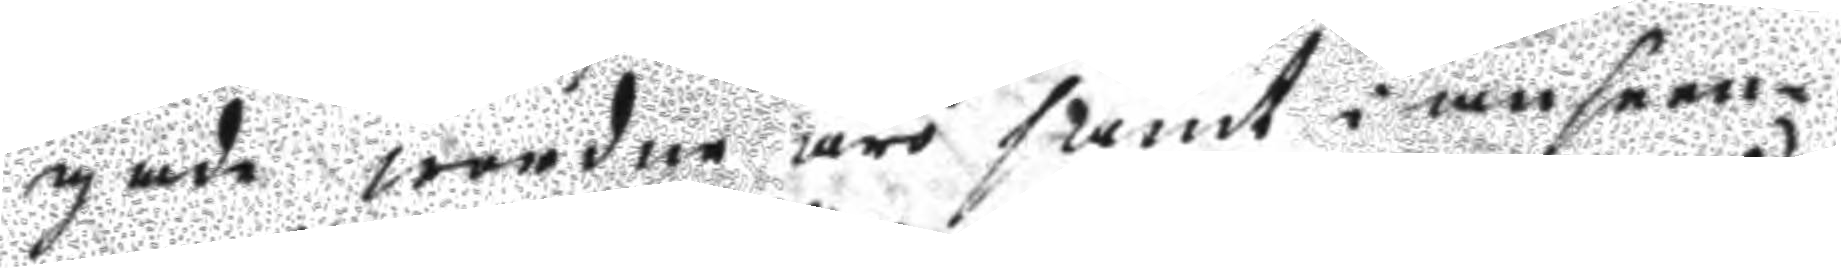gade wordne äro samt i anseen¬
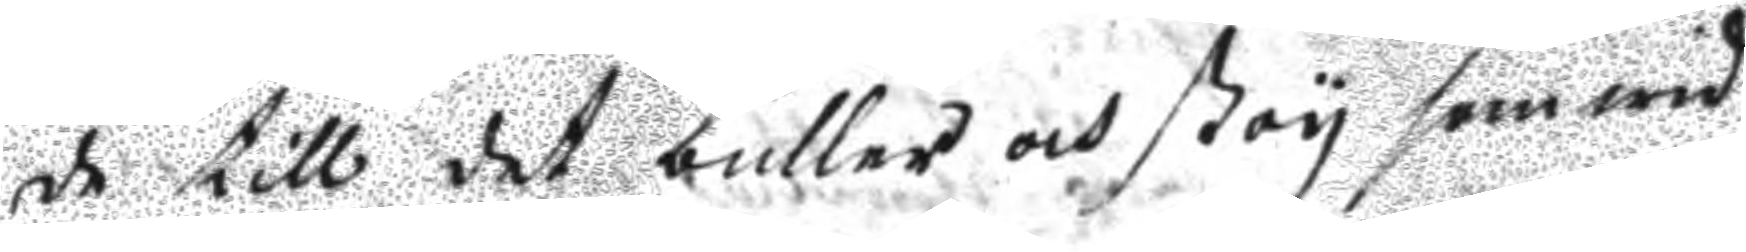de till buller och stoy som wid
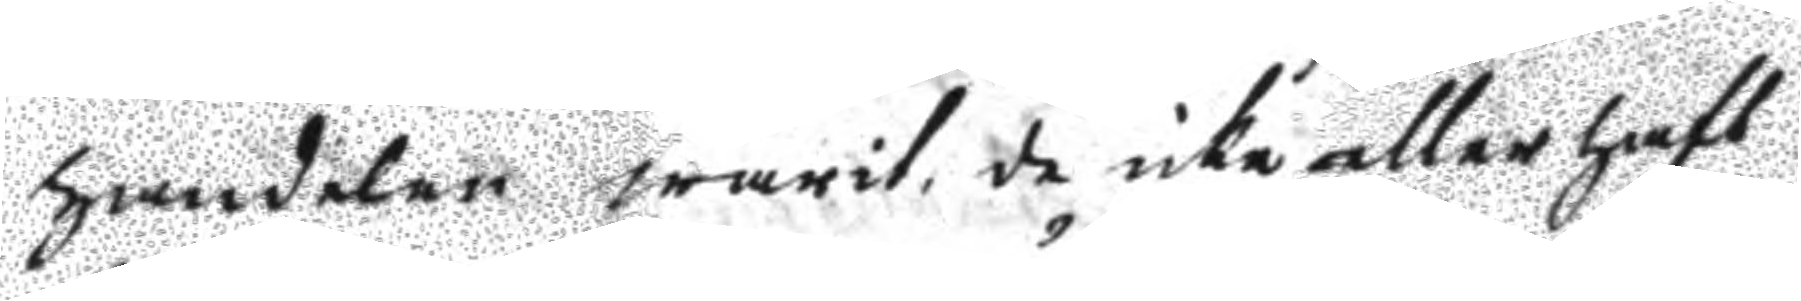handelsen warit, de icke eller haft
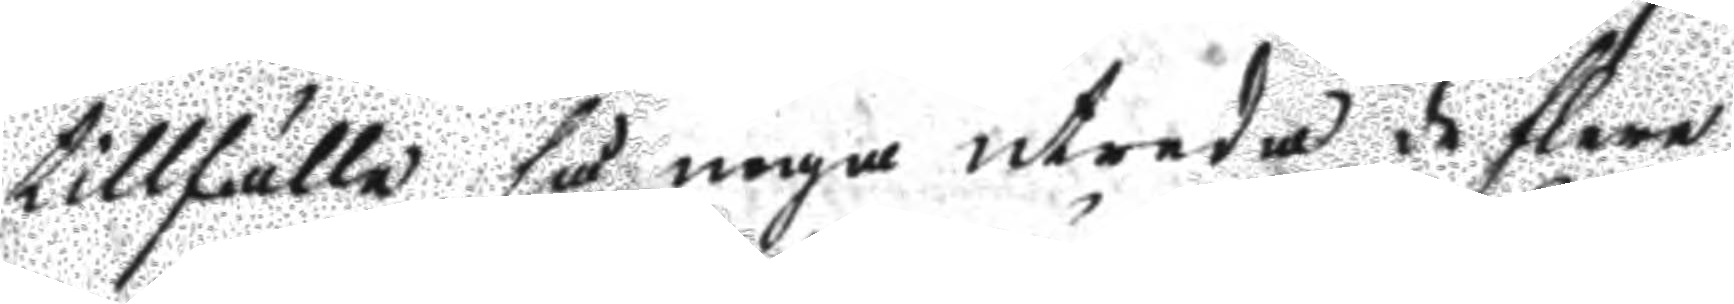tillfälle så noga utreda de flere
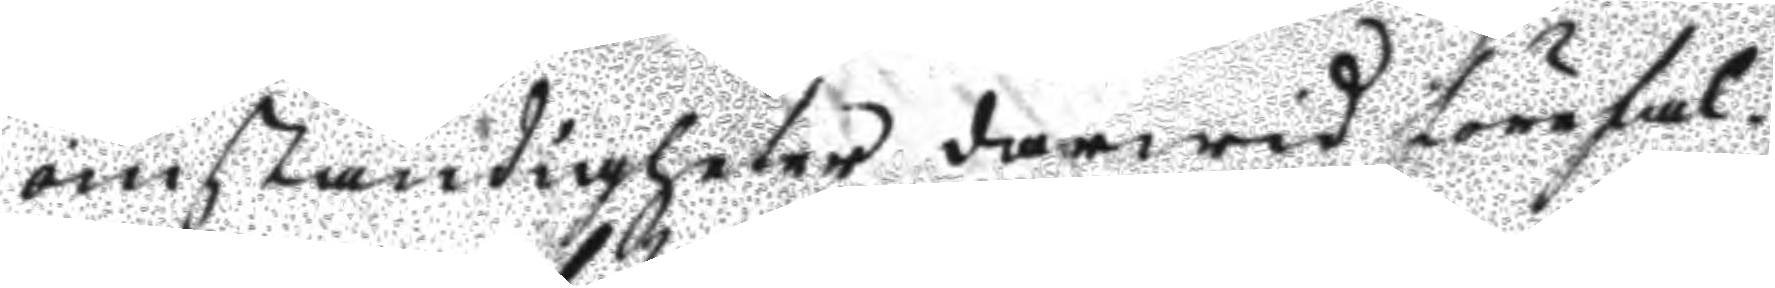omständigheter därwid förefal¬
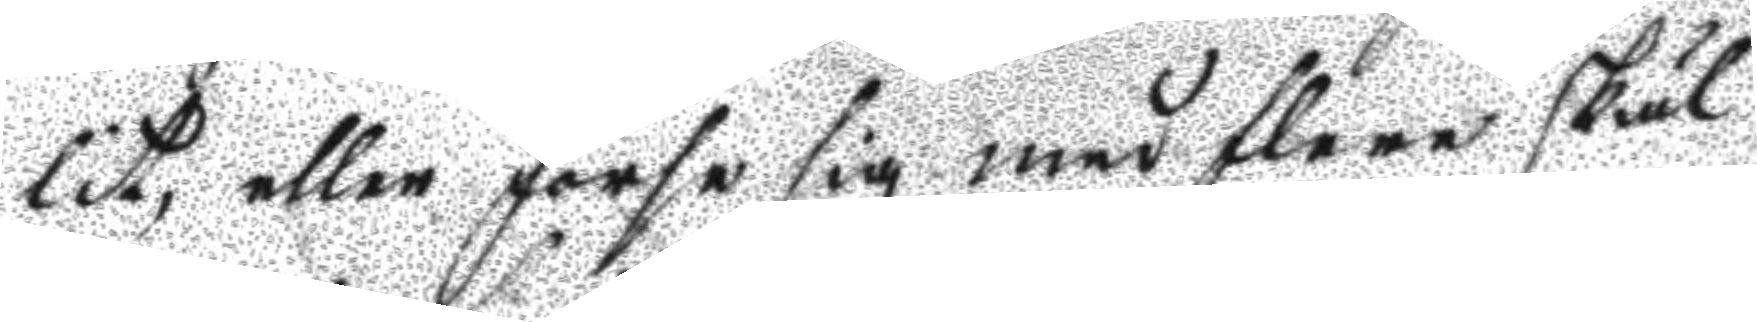lit, eller förse sig med flere skiäl
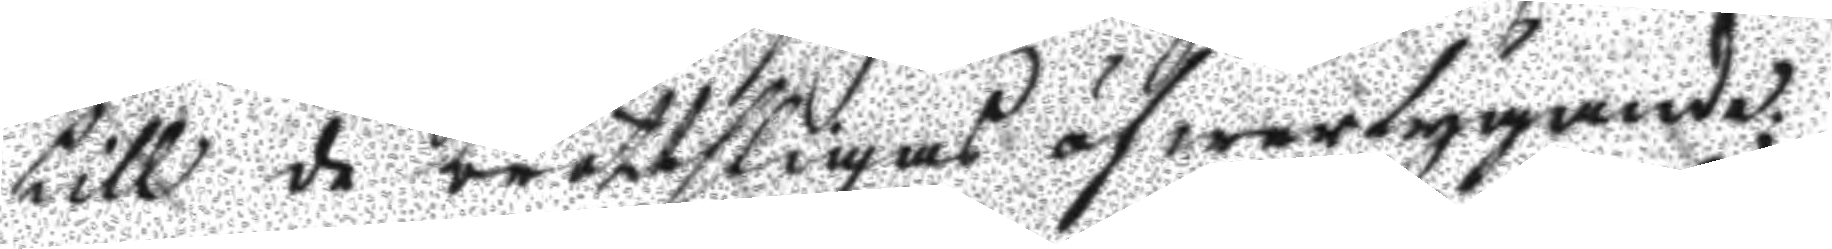till de brottsligas öfwertygande;
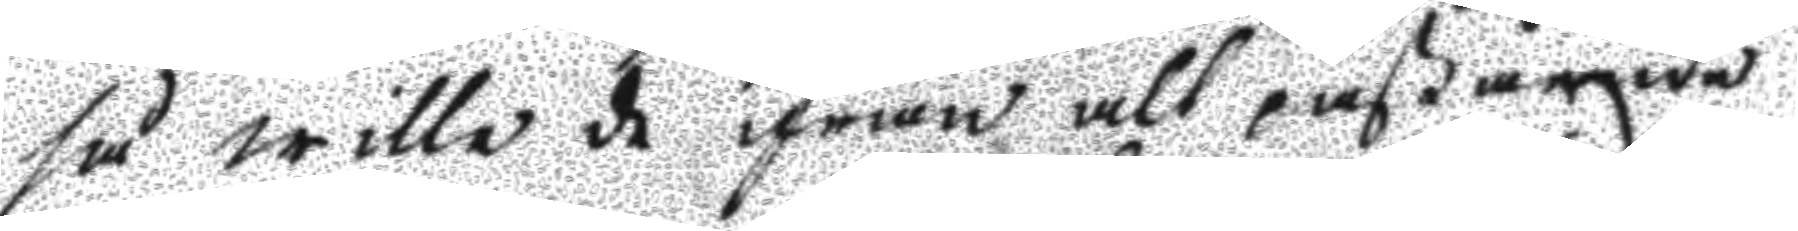så wille de ifrån alt påstående
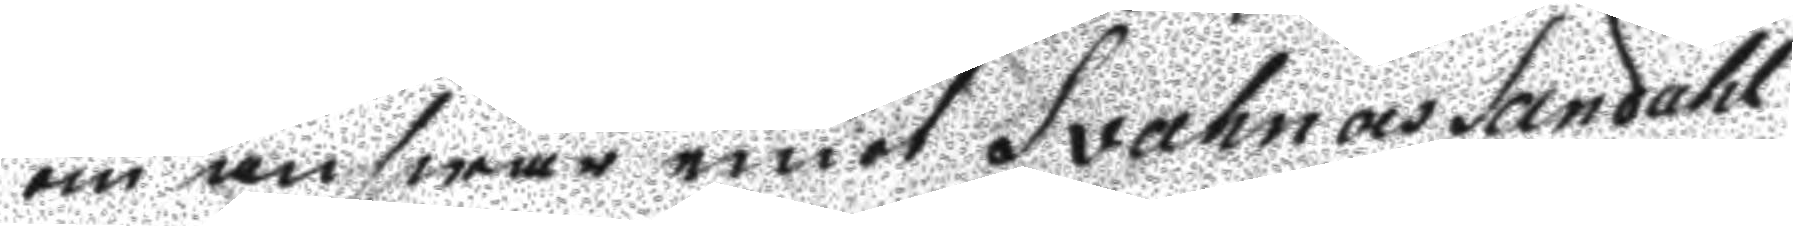om answar emot Svahn och Sandahl
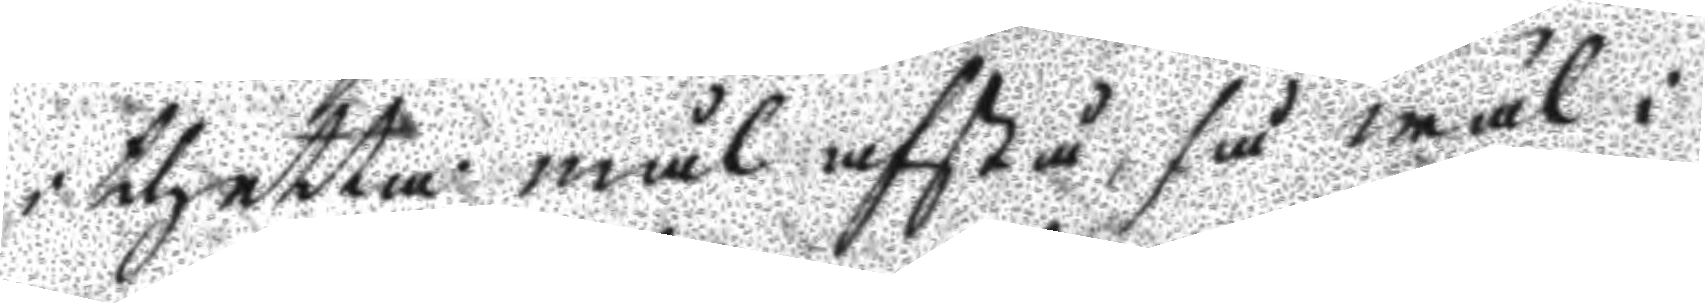i thetta mål afstå, så wäl i
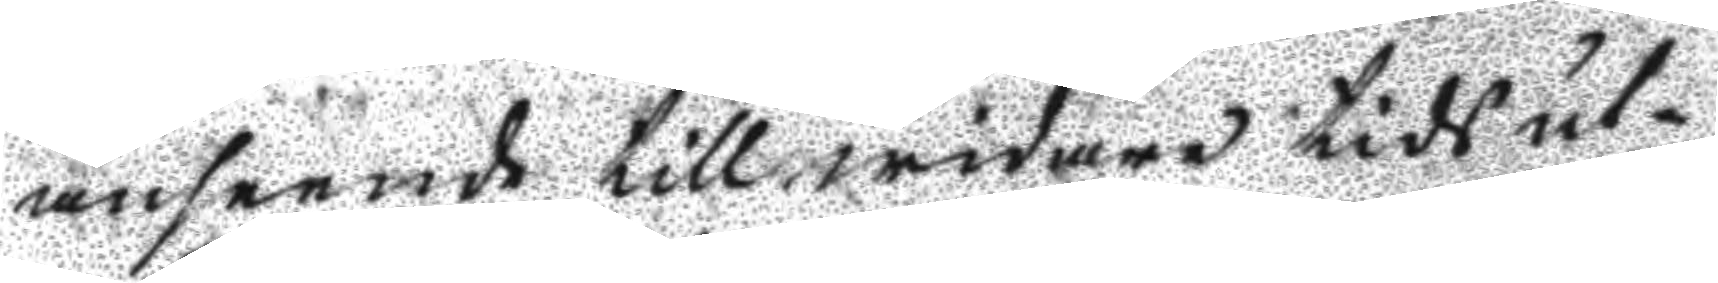anseende till widare tidsut¬
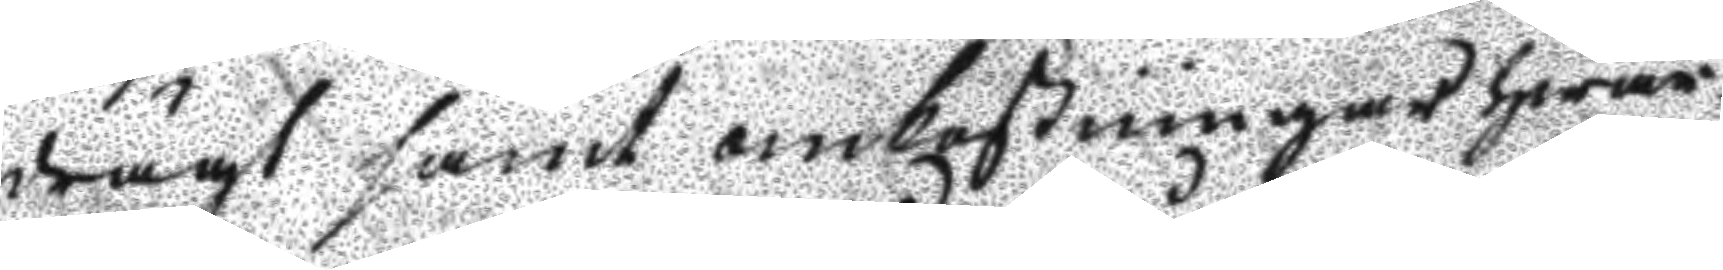drägt samt omkostningar hwar¬
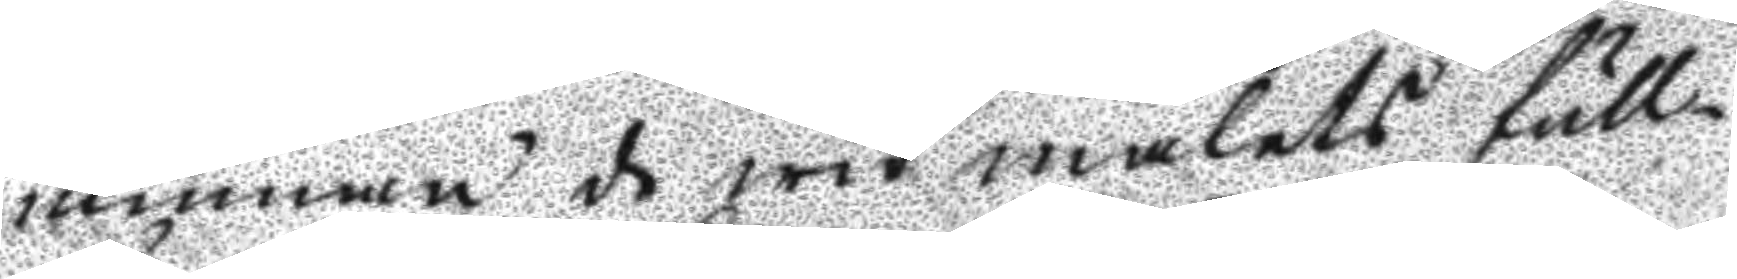utinnan de wid målets full¬
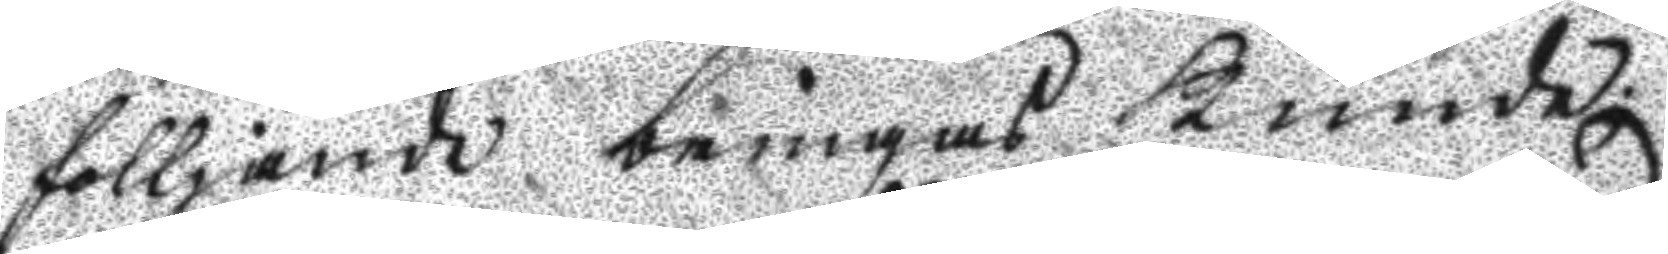fölljande bringas kunde.
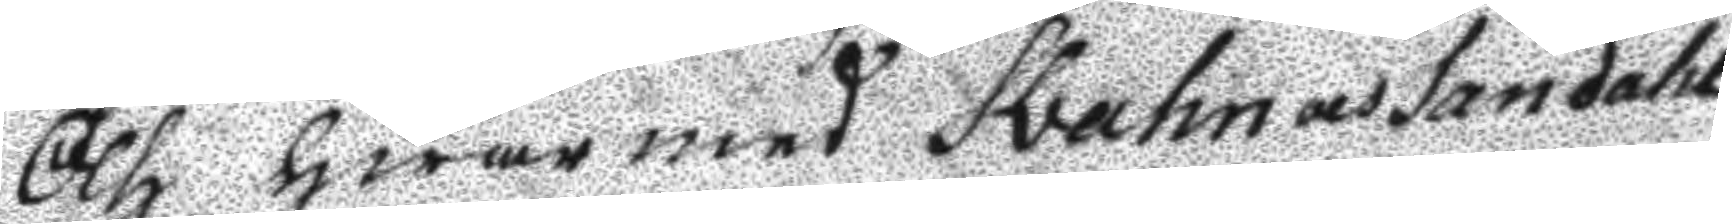Och hwar med Svahn och Sandahl
